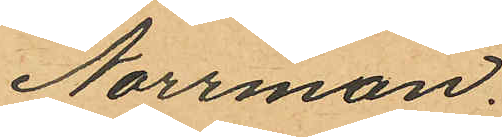Norrman.
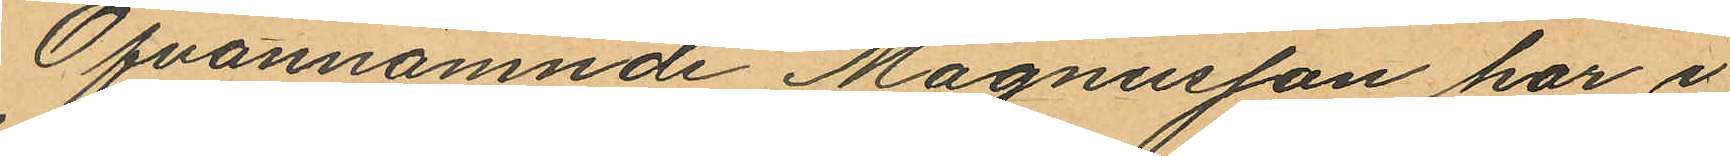Ofvannämnde Magnusson har i
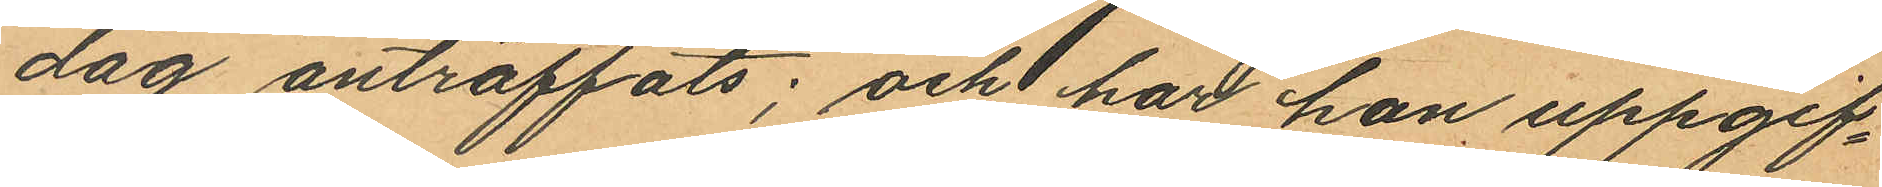dag anträffats; och har han uppgif¬
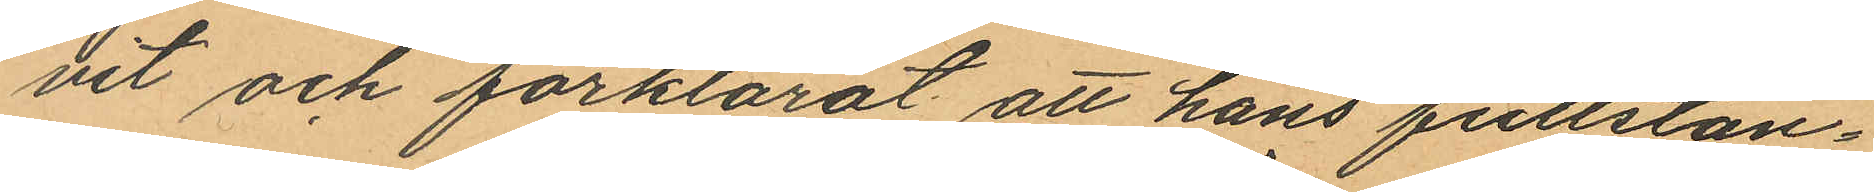vit och förklarat att hans fullstän¬
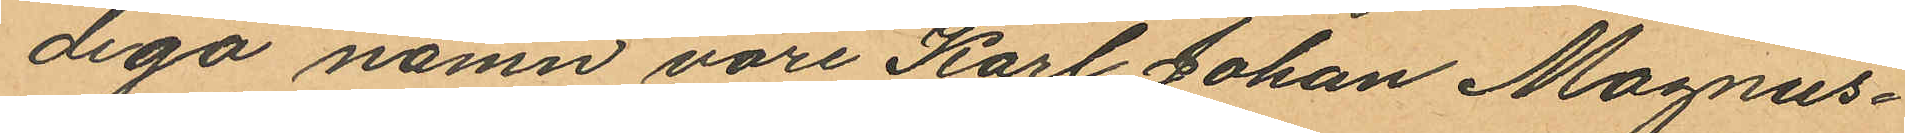diga namn vore Karl Johan Magnus¬
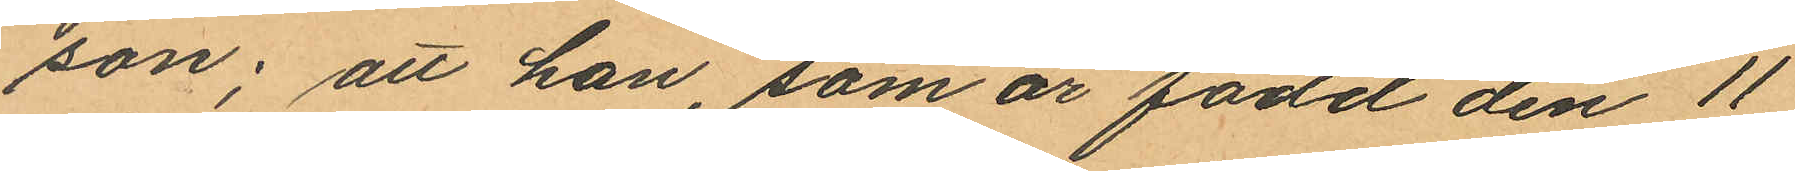son; att han, som är född den 11
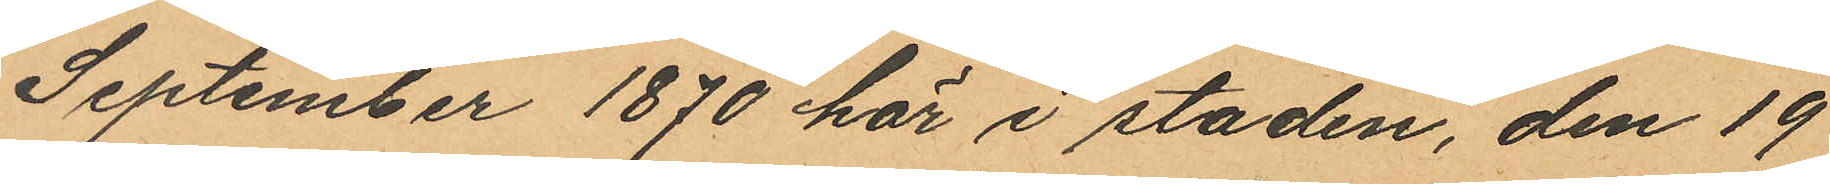September 1870 här i staden, den 19
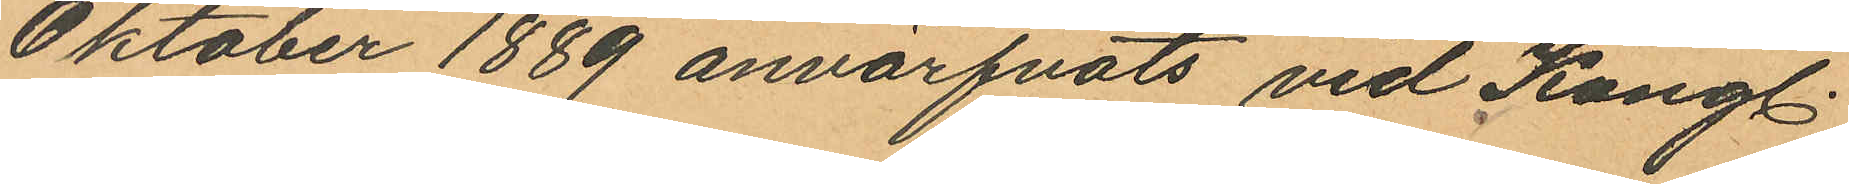Oktober 1889 anvärfvats vid Kongl.
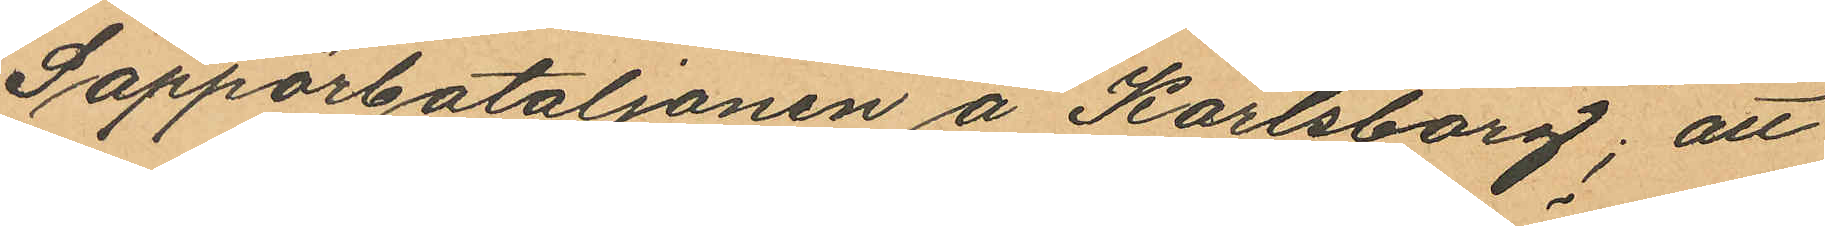Sappörbataljonen å Karlsborg; att
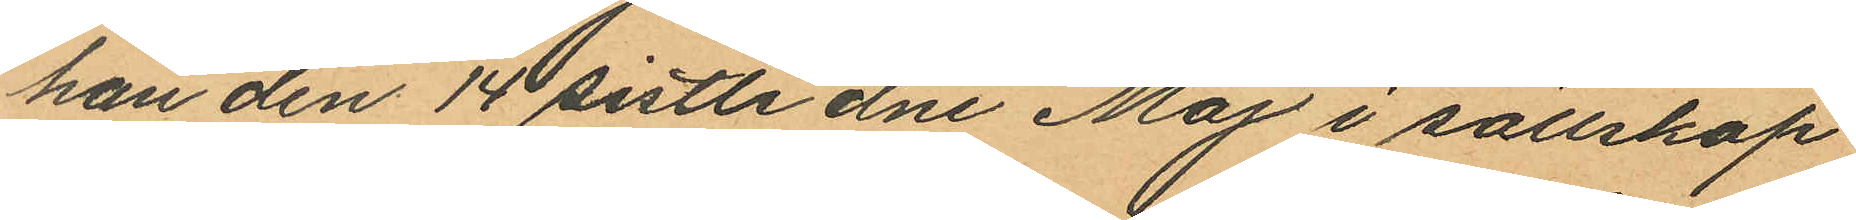han den 14 sistlidne Maj i sällskap
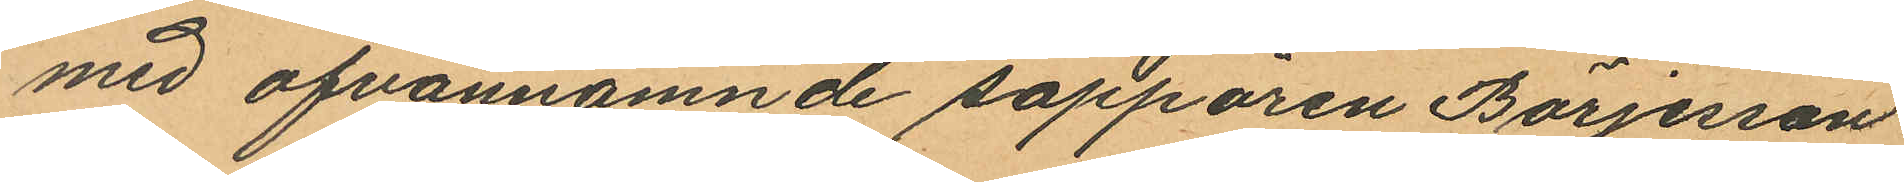med ofvannämnde sappören Börjesson
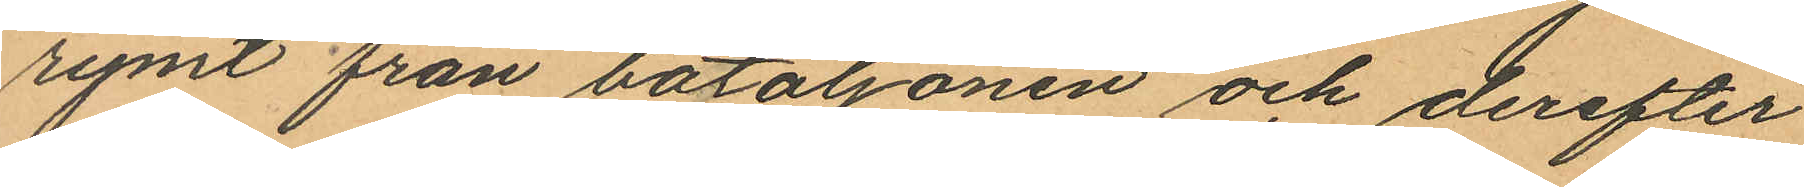rymt från botaljonen och derefter
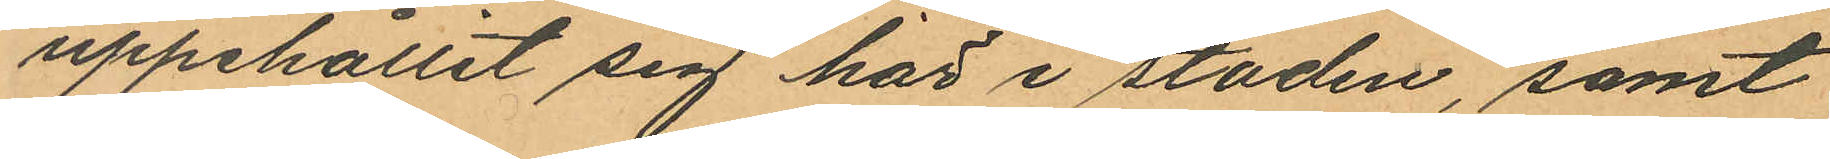uppehållit sig här i staden, samt
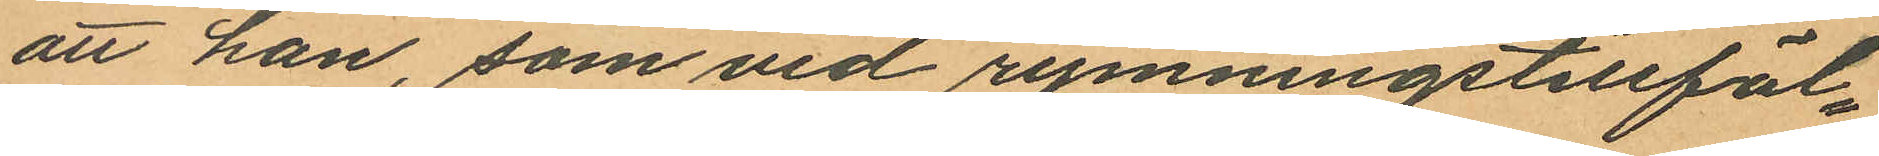att han, som vid rymningstillfäl¬
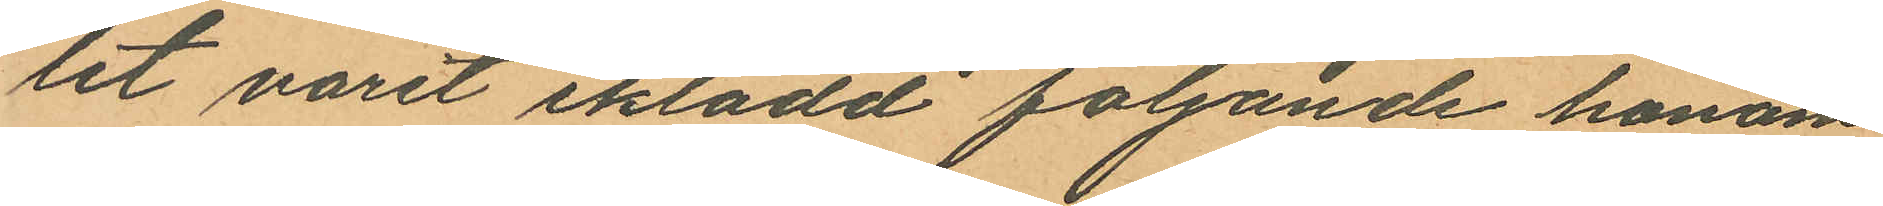lit varit iklädd följande honom
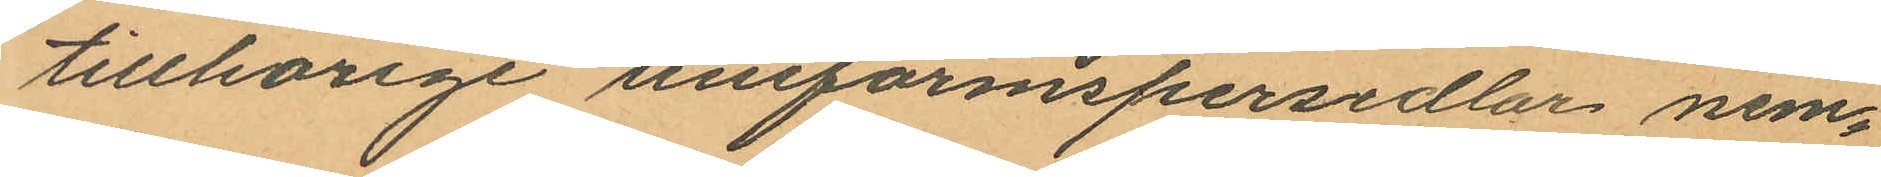tillhörige uniformspersedlar nem¬
